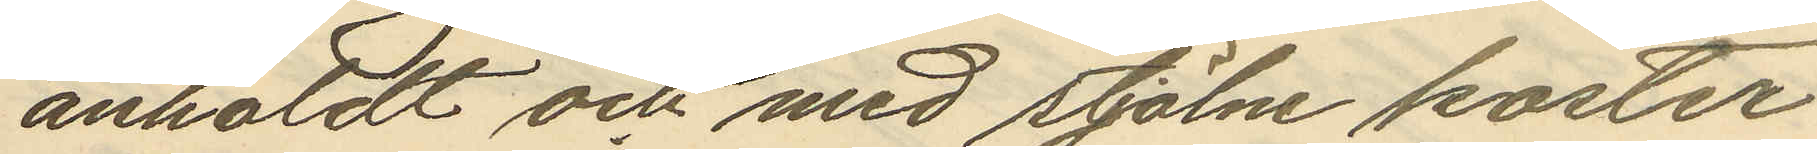anholdt och med stjölne koster
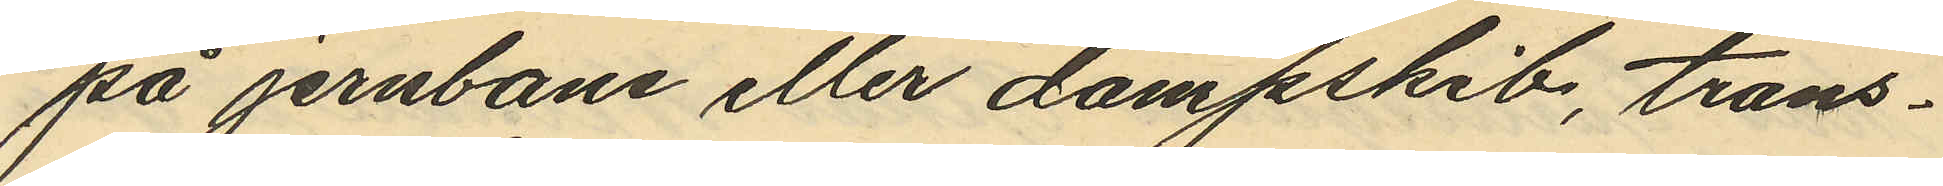på jernbane eller dampskib, trans¬
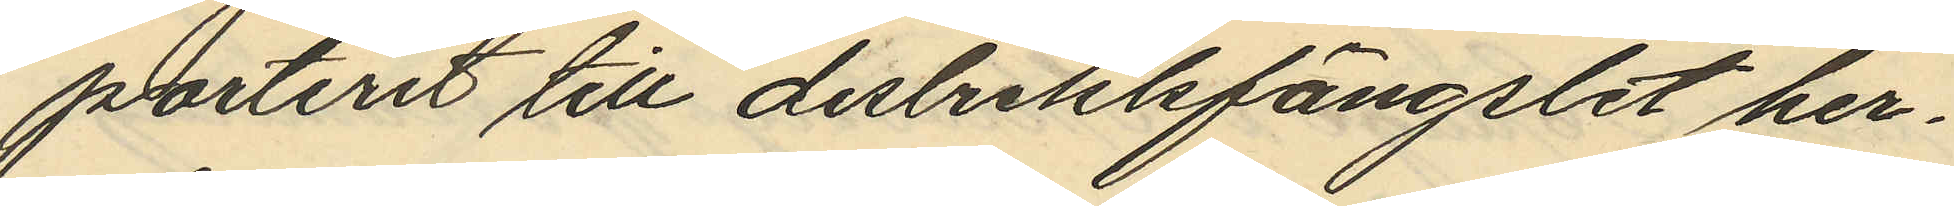porteret till distrektsfängslet her¬
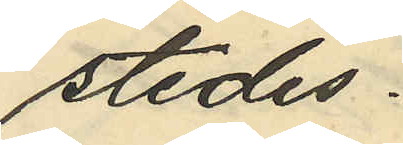stedes.
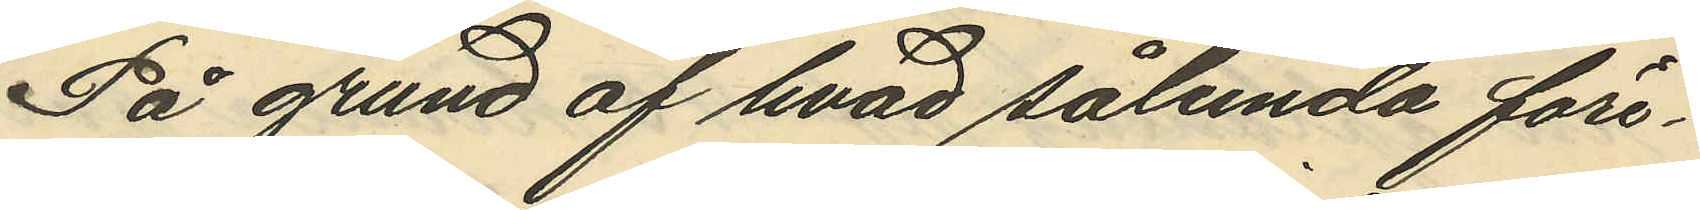På grund af hvad sålunda före¬
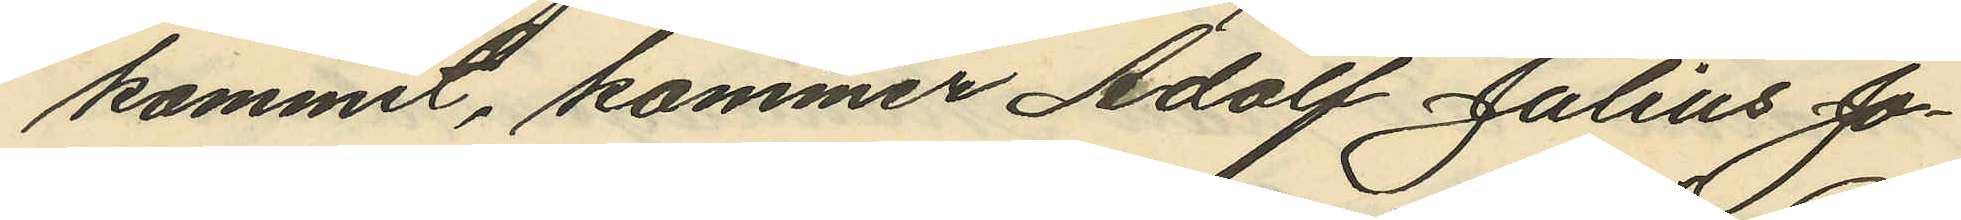kommit, kommer Adolf Julius Jo¬
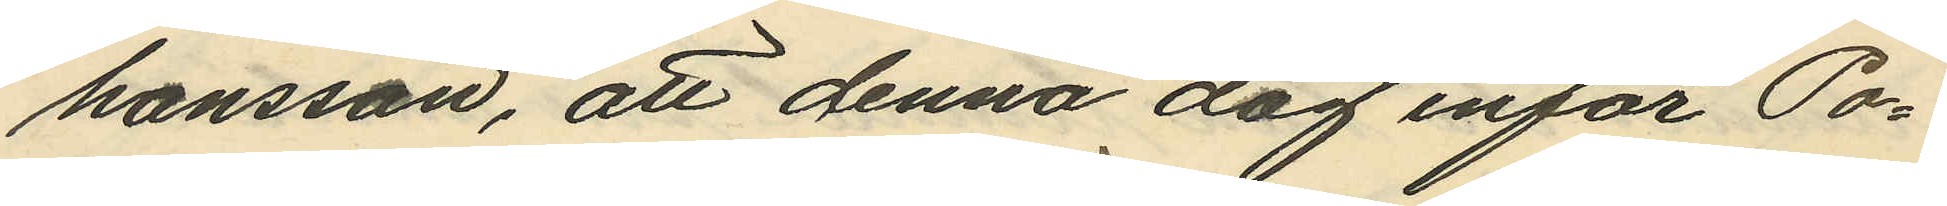hansson, att denna dag inför Po¬
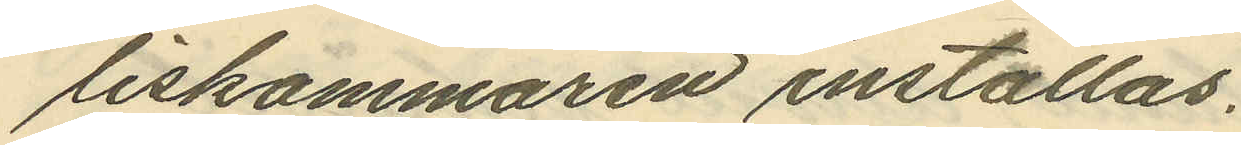liskammaren inställas.
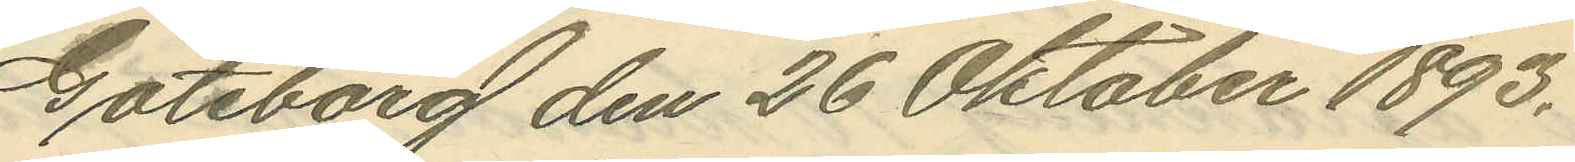Göteborg den 26 Oktober 1893.
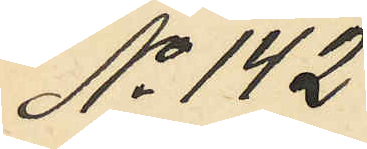No 142
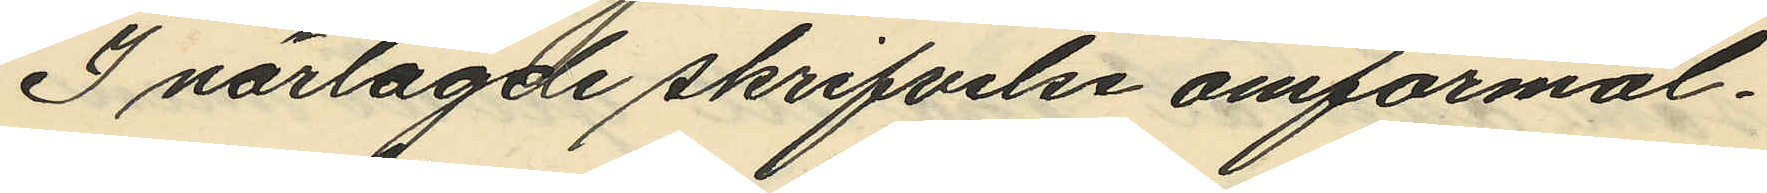I närlagde skrifvelse omförmäl¬
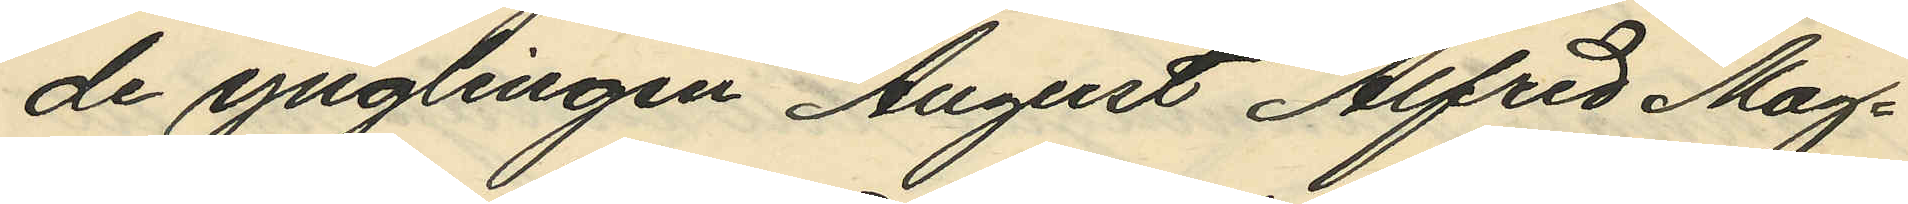de ynglingen August Alfred Mag¬
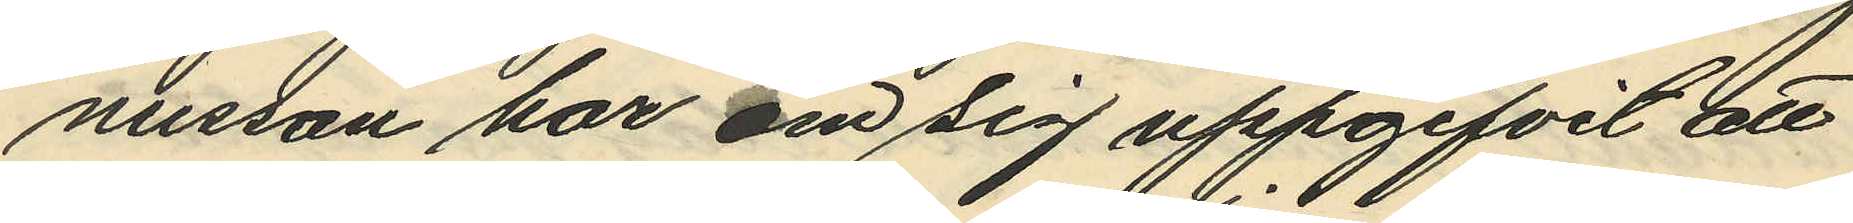nusson har om sig uppgifvit att
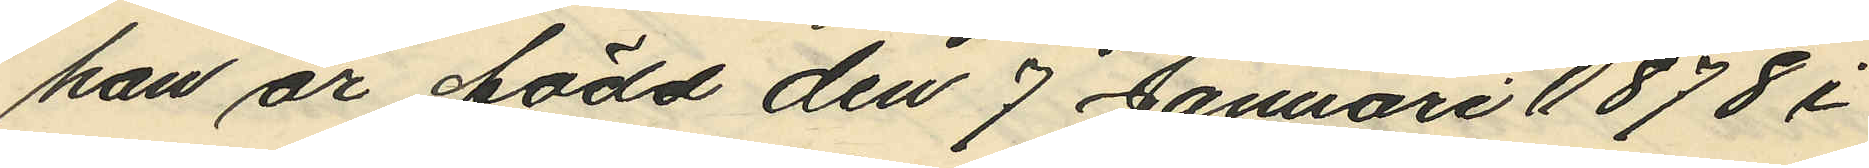han är född den 7 Januari 1878 i
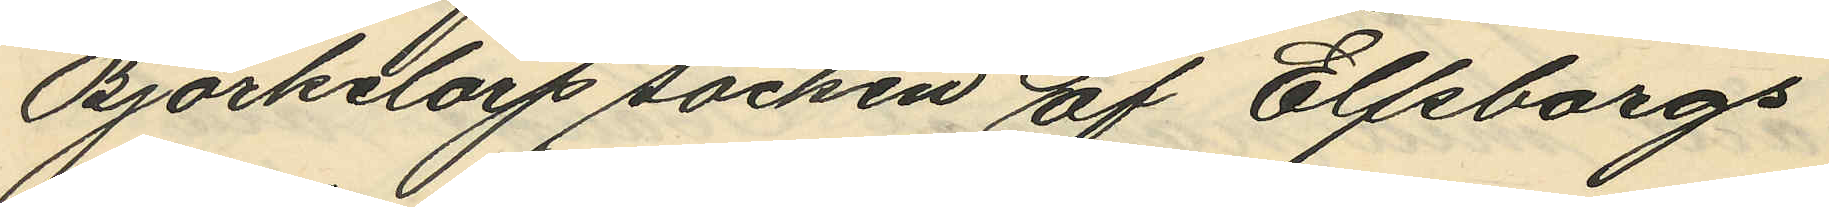Björketorp socken af Elfsborgs
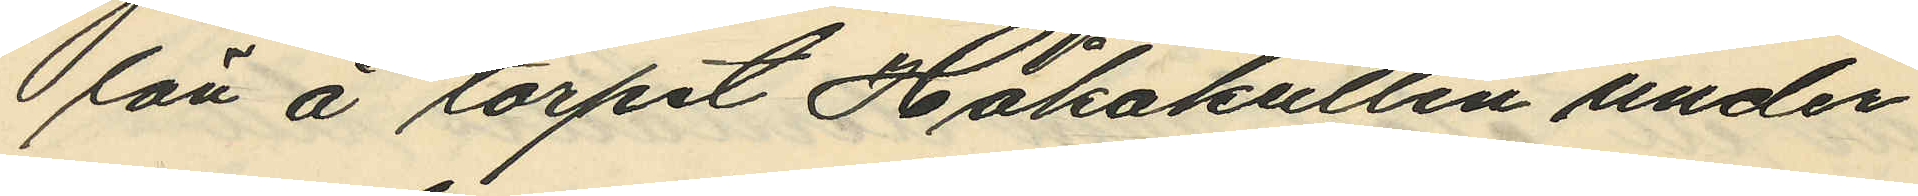län å torpet Håkakullen under
